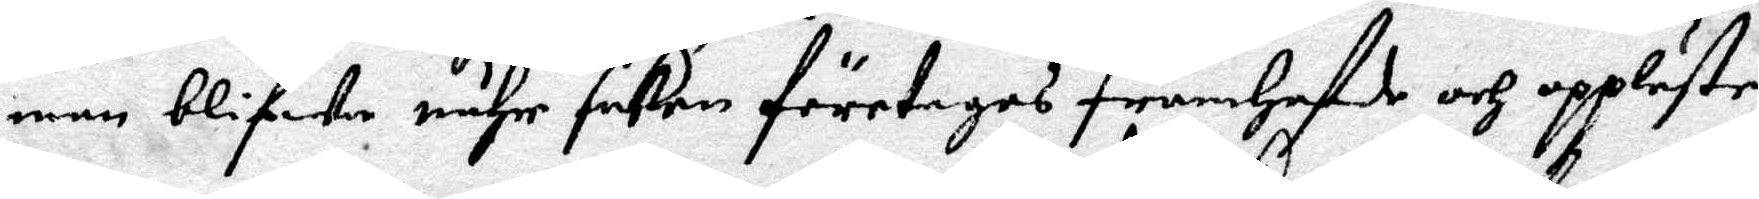man blifwa nähr saken företages framhafde och uppläste.
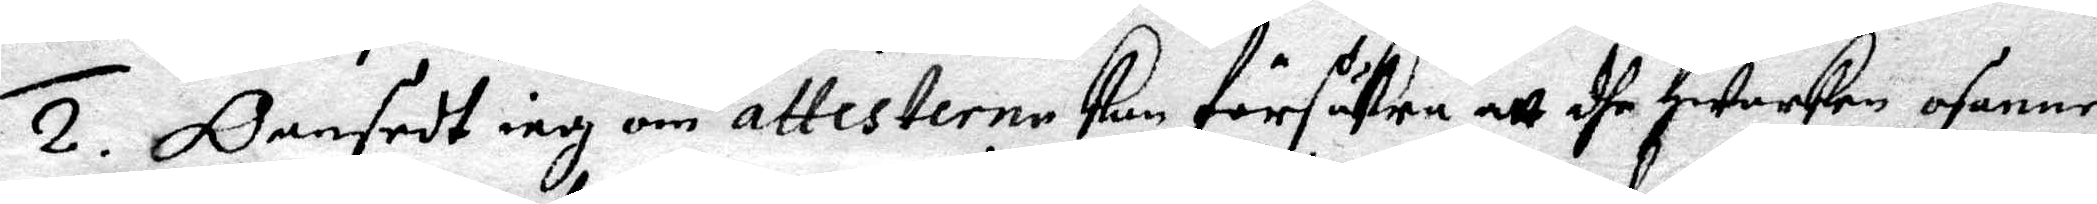2. Oansedt iag om attesterne kan försäkra att dhe Hwarken osanne
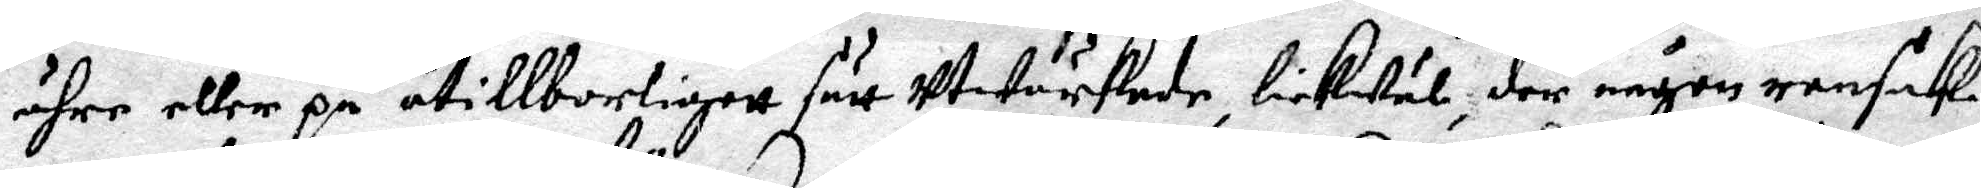ähre eller på otillborligett sätt Utwärkade, likwäl, der någon ransak¬
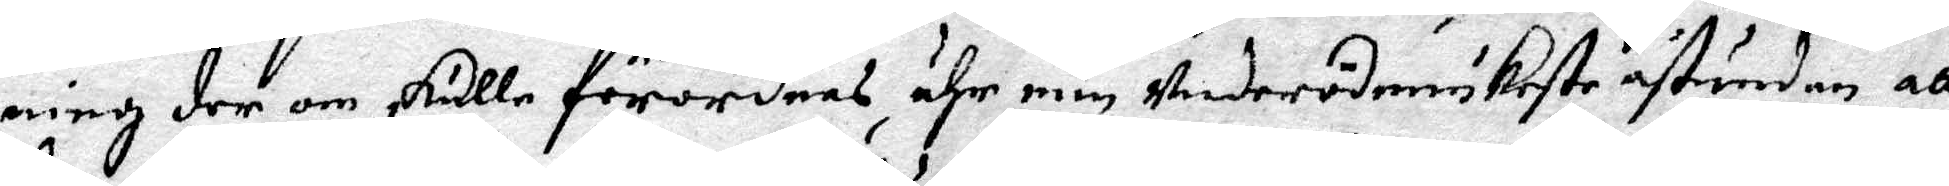ning der om skulle förordnas, ähr min Underödmiukaste åstundan att
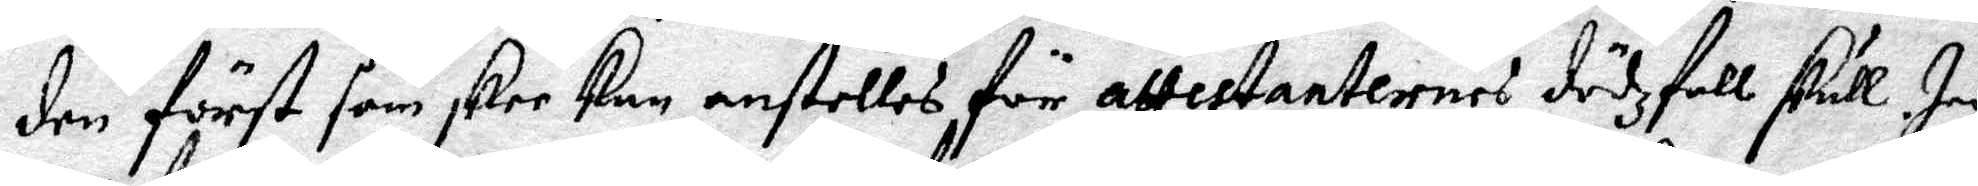den först såm skee kan anställes för attestanternes dödzfall skull. Jag
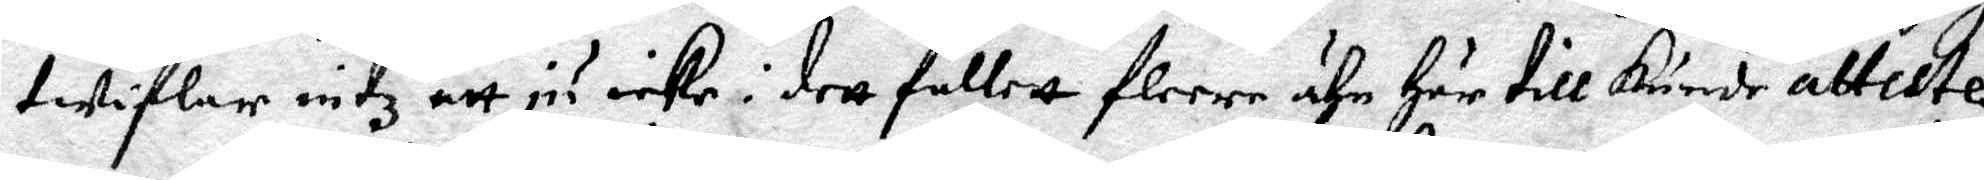twiflar intz att ju icke i dett falett flere ähr här till kunde atteste¬
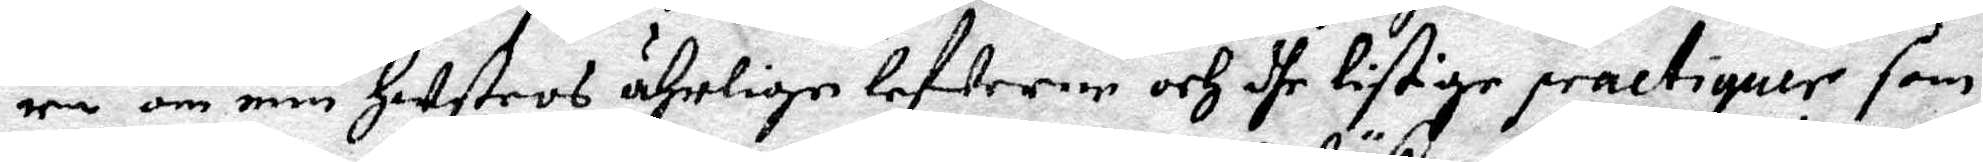ra om min Hustros ährlige lefwerne och dhe listige practiquer som
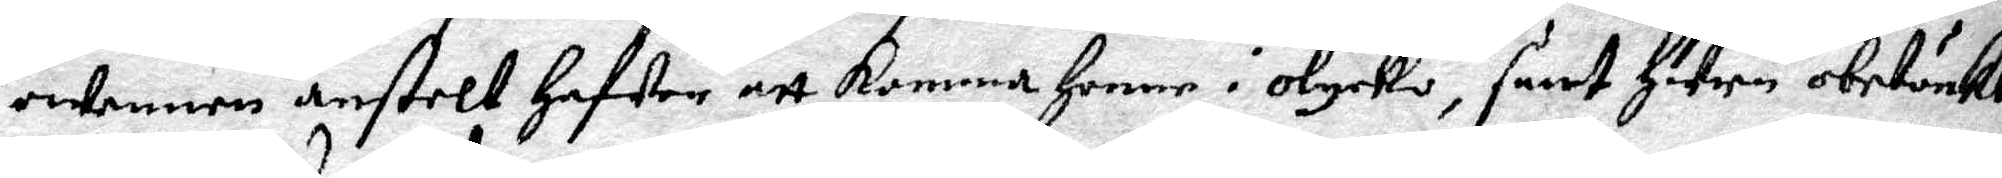owenners anstelt Hafwer att komma Henne i olycko, sånt Huru obetänkl
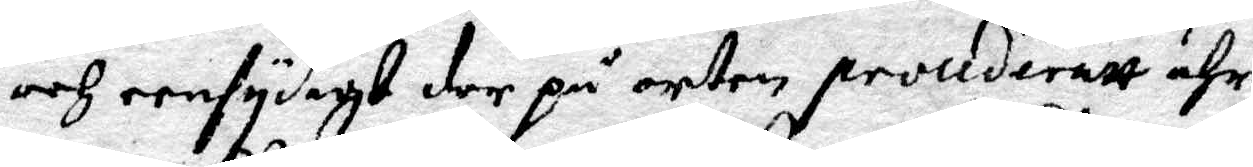och eensydigt der på orten procideratt ähr.
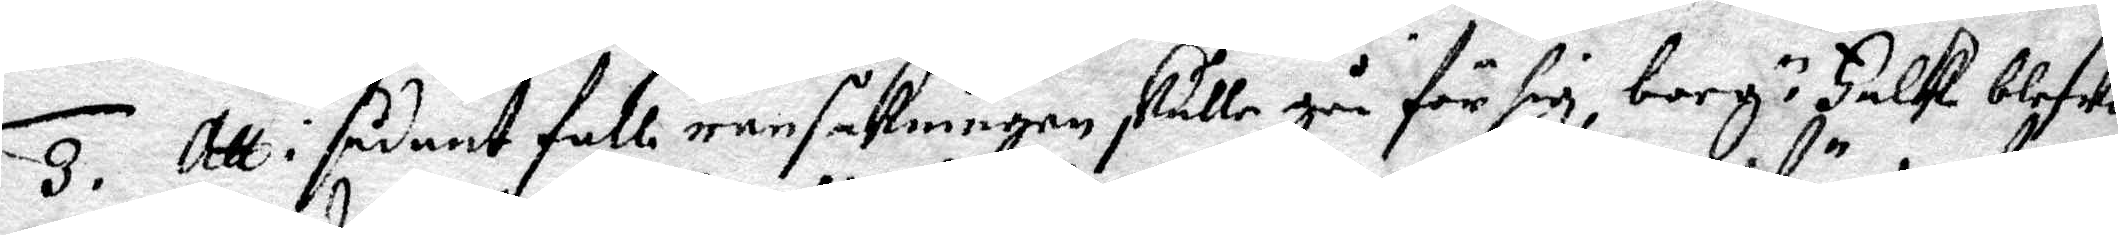3. Att i sådant fall ransakningen skulle gå för sig, borg.n Falk blefwo
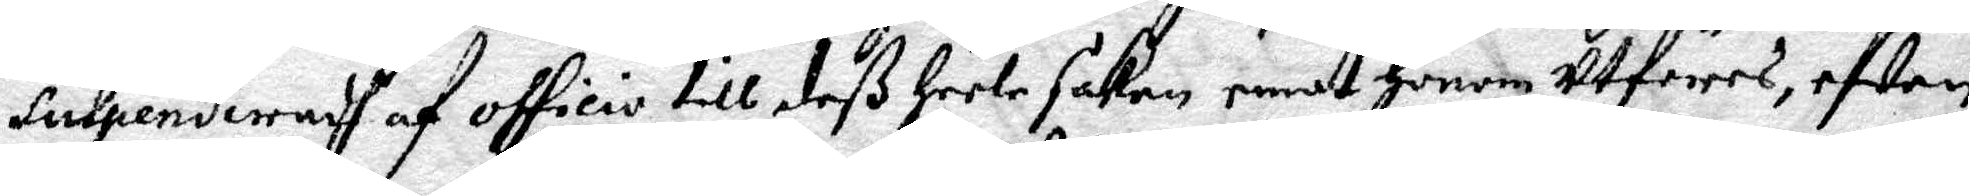Suspenderadh af officio till deß Heele saken emot Honom utföres, efwen
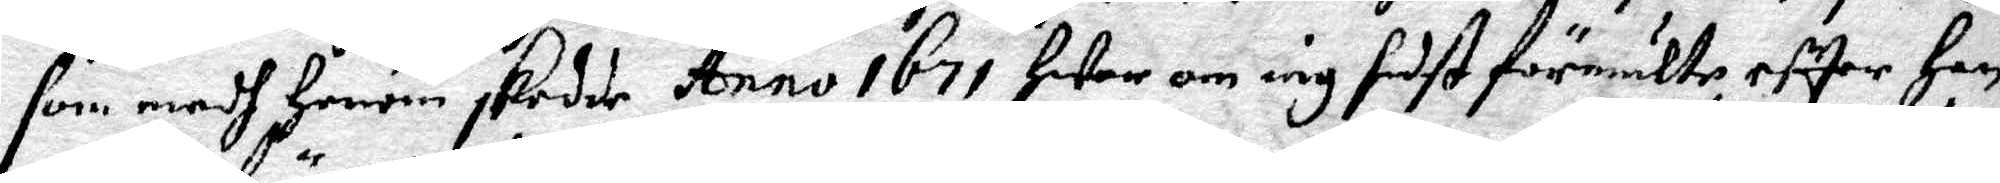som medh Honom skedde Anno 1671 Hwar om iag sist förmälte, efter Han
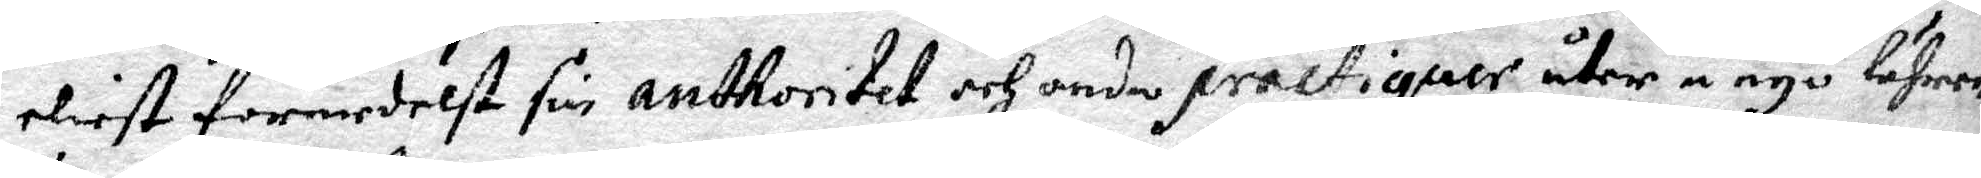eliest förmedelst sin anthoritet och andre practiquer åter å nyo lährer
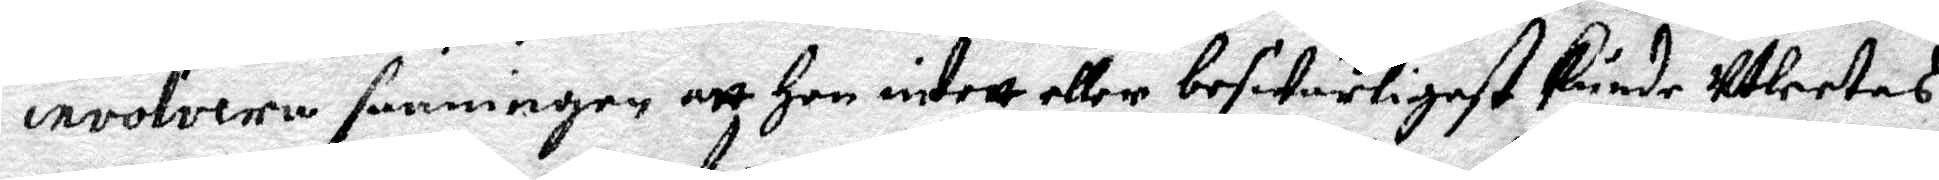involvera sanningen att Hon intett eller beswärligast kunde Utletas.
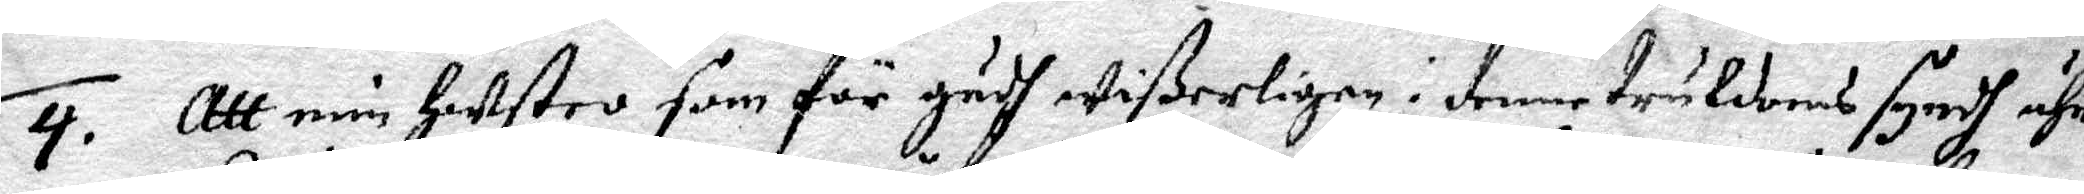4. Att min Hustro som för gudh wißerligen i denne Trulldoms syndh ähr
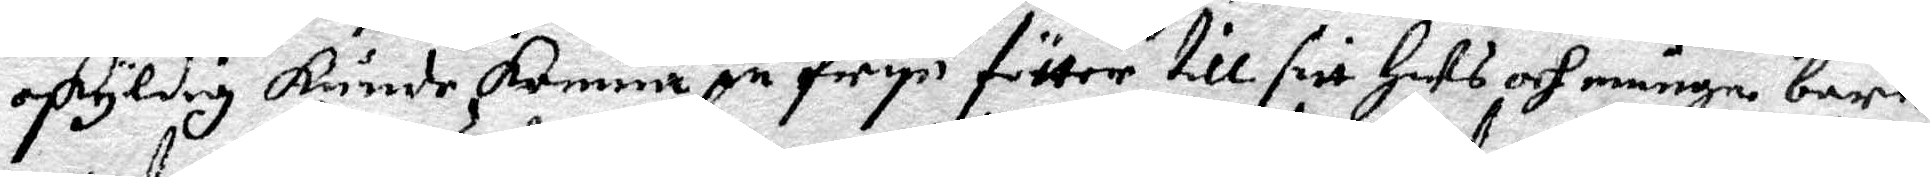oskyldig kunde komma på frye fötter till sitt Hus och många barn,
